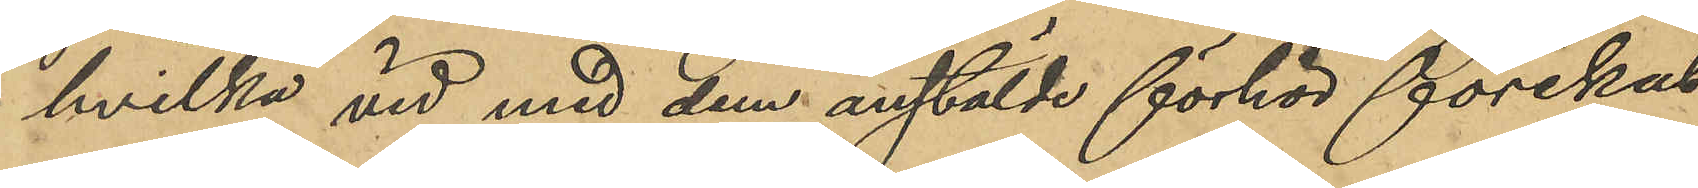hvilka vid med dem anstälde förhör förnekat
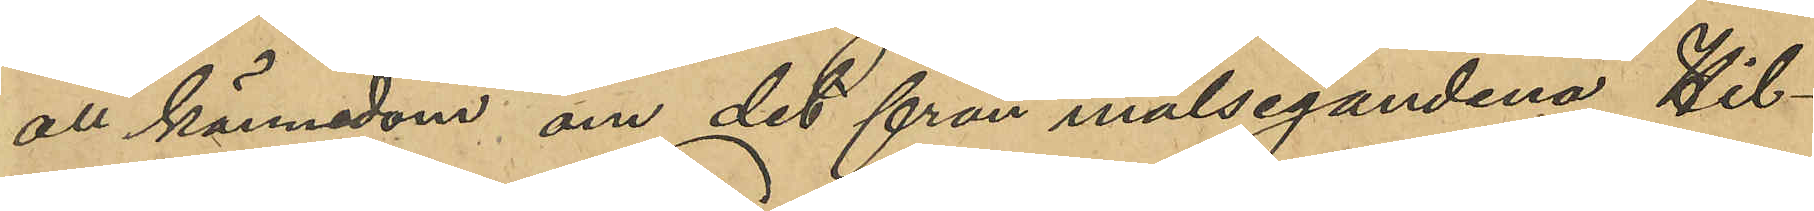all kännedom om det från målegandena Hil¬
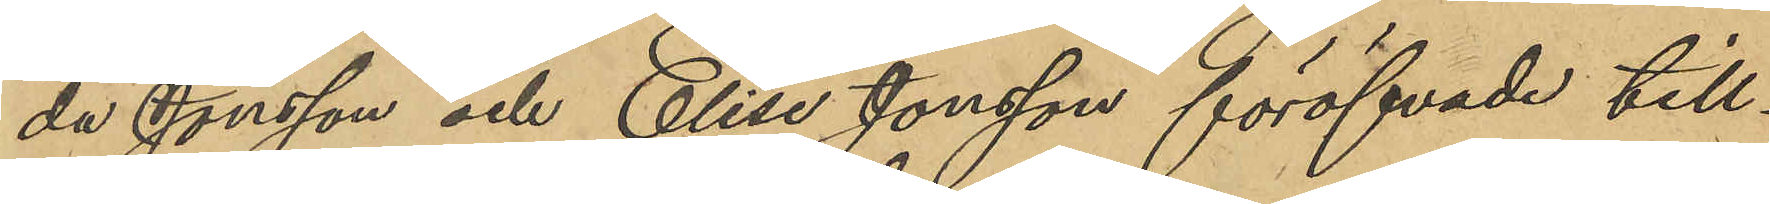da Jansson och Elise Jonsson föröfvade till¬
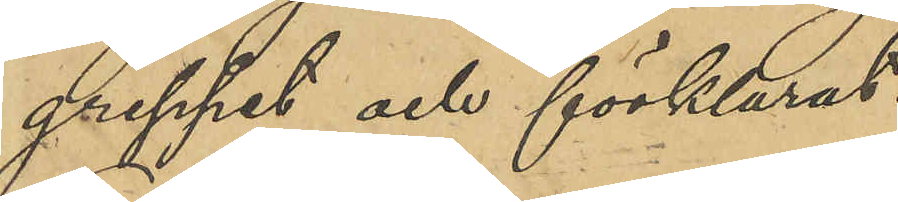greppet och förklarat:
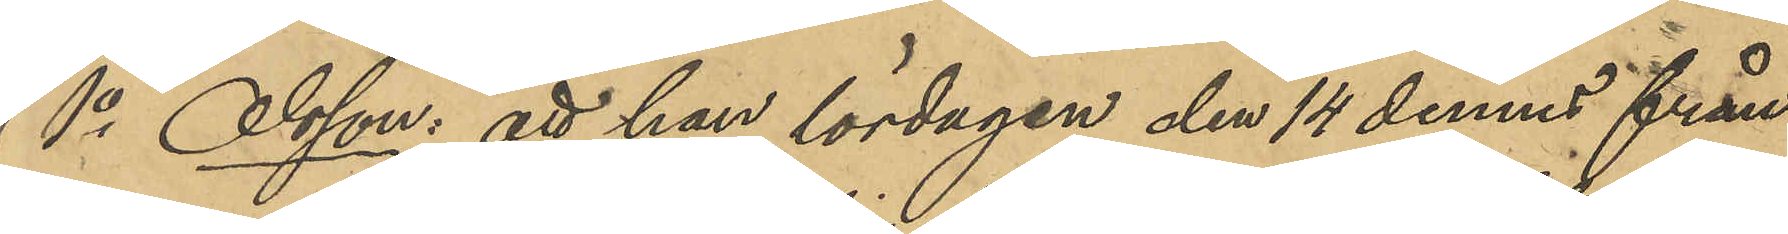1o Olsson; att han lördagen den 14 dennes från
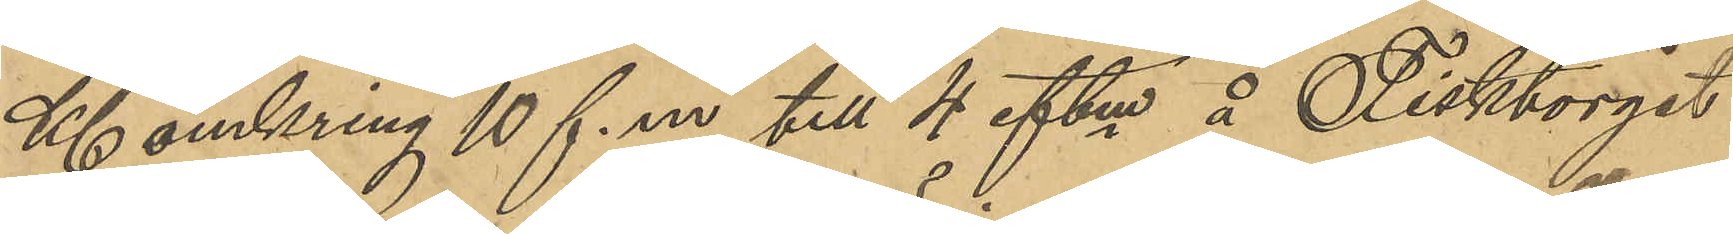Kl omkring 10 f. m till 4 eftm å Fisktorget
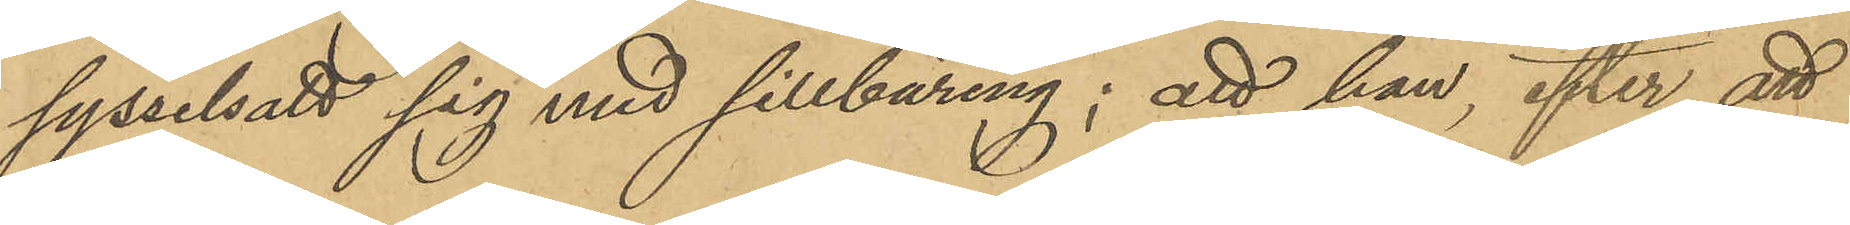sysselsatt sig med sillbäring; att han, efter att
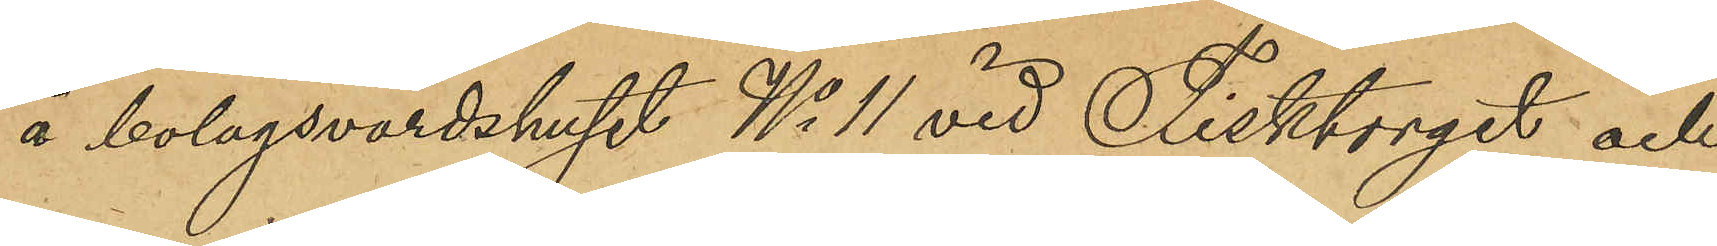å bolagsvärdshuset No 11 vid Fisktorget och
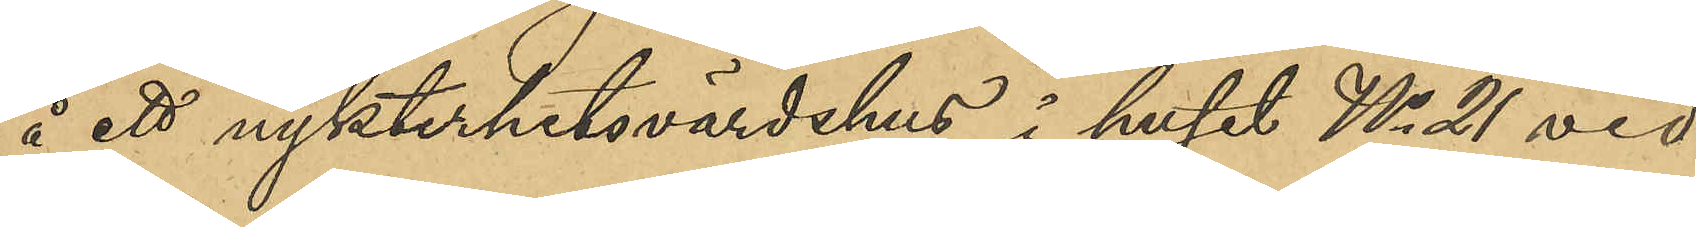å ett nykterhetsvärdshus i huset No 21 vid
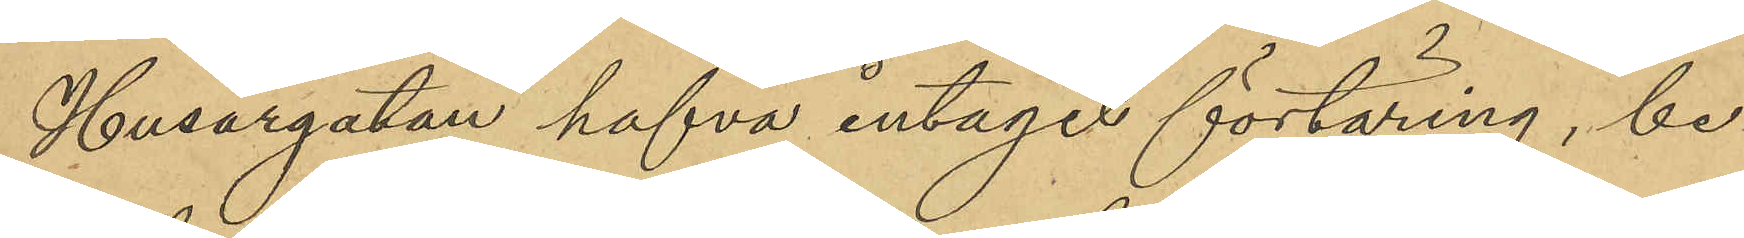Husargatan hafva intagit förtäring, be¬
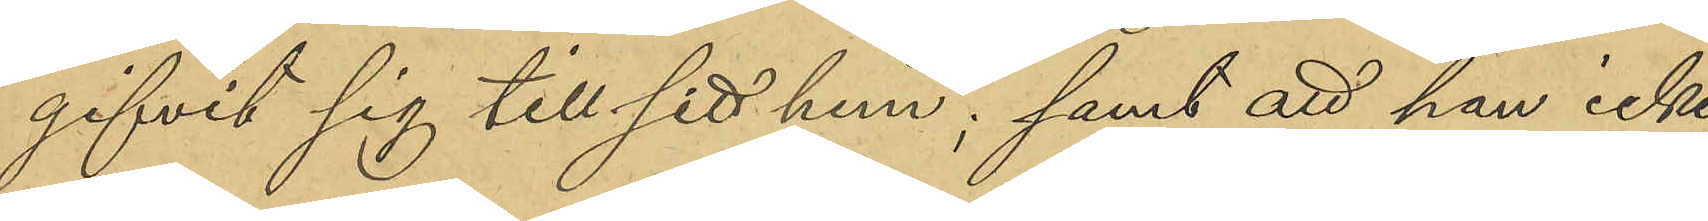gifvit sig till sitt hem, samt att han icke
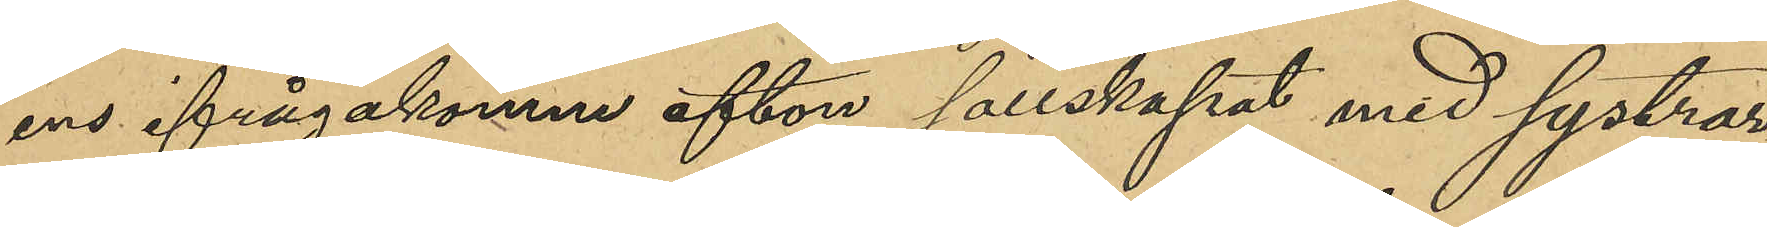ens ifrågakomne afton sällskapat med systrar¬
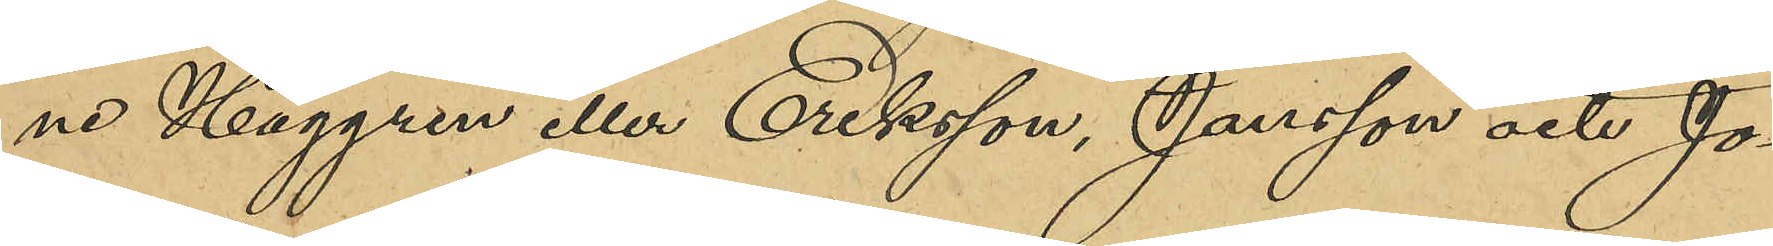ne Haggren eller Eriksson, Jansson och Jo¬
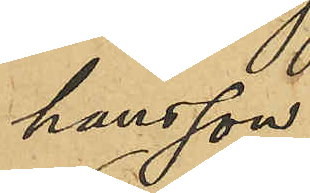hansson;
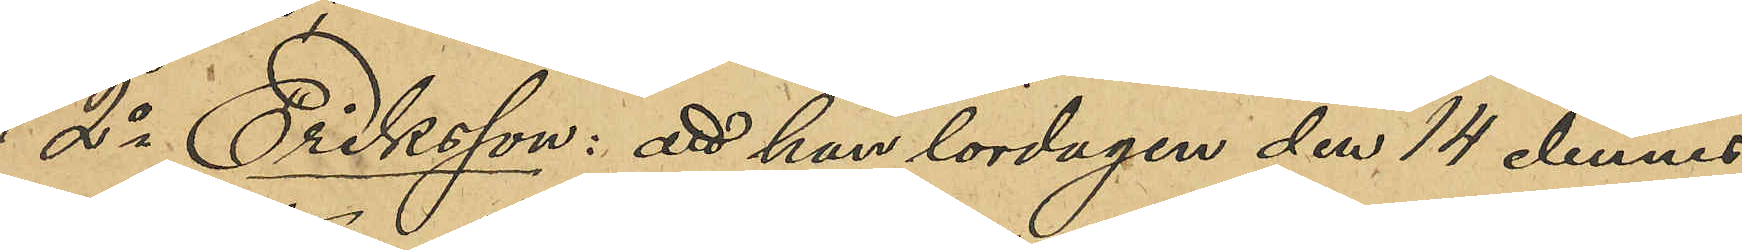2o Eriksson: att han lördagen den 14 dennes
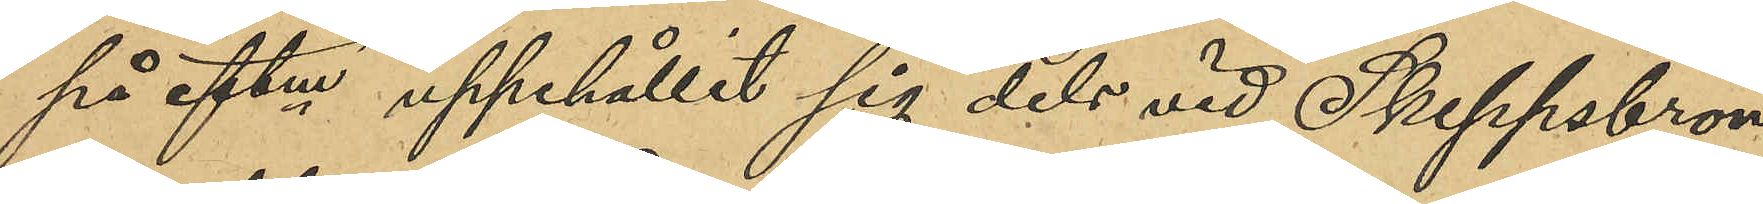på eftm uppehållit sig dels vid Skeppsbron
